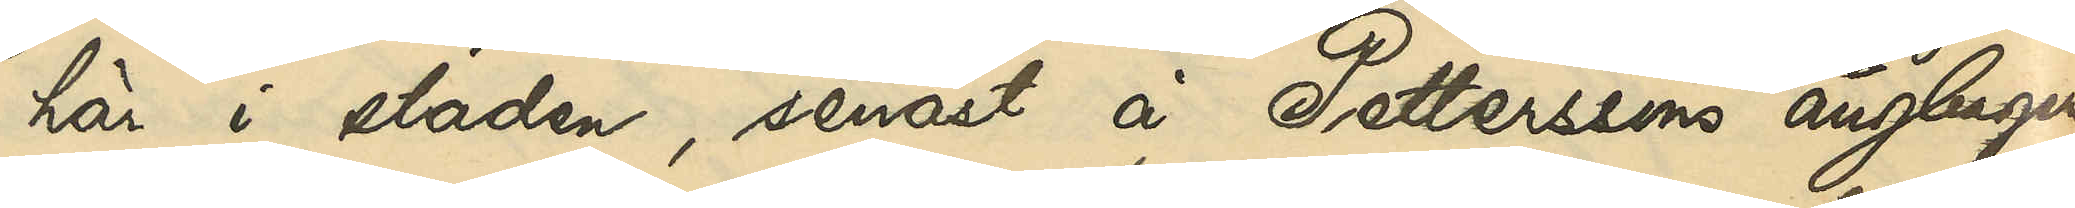här i staden, senast å Petterssons ångbageri
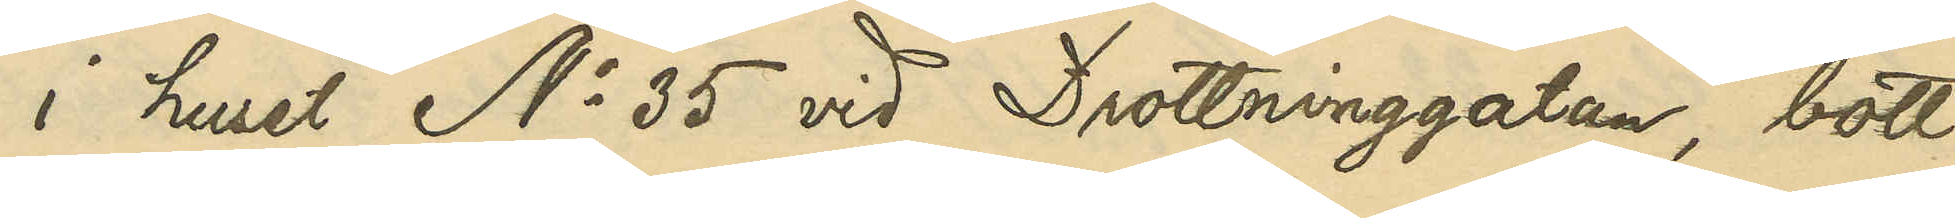i huset No 35 vid Drottninggatan, bott
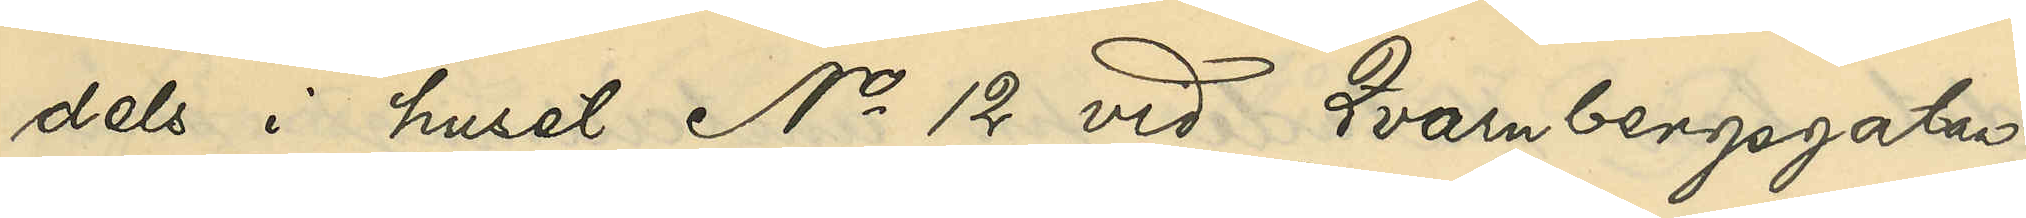dels i huset No 12 vid Qvarnbergsgatan,
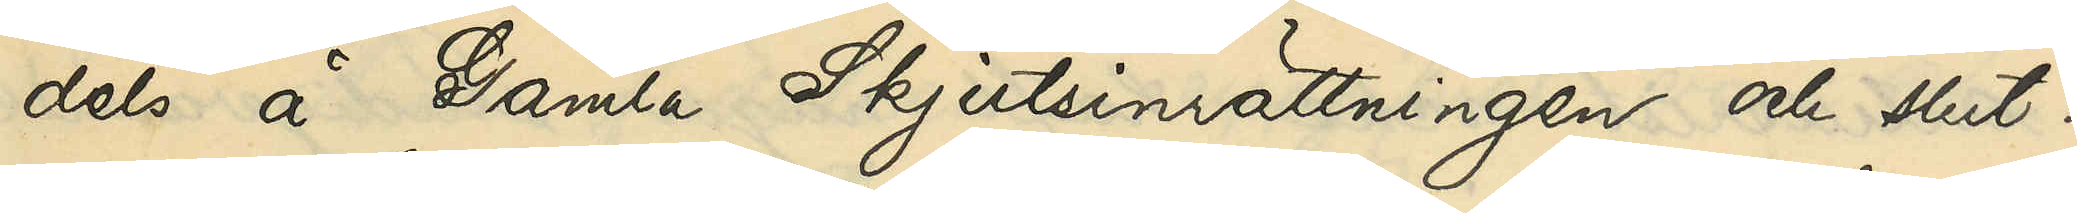dels å Gamla Skjutsinrättningen och slut¬
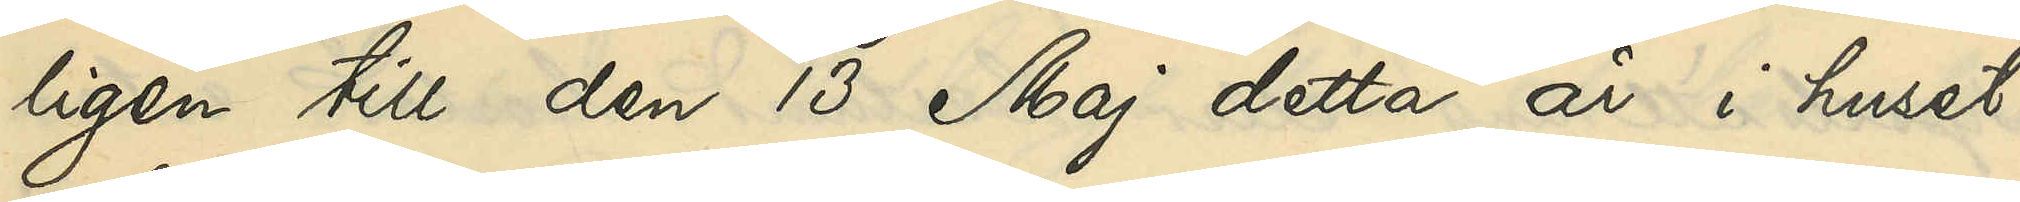ligen till den 13 Maj detta år i huset
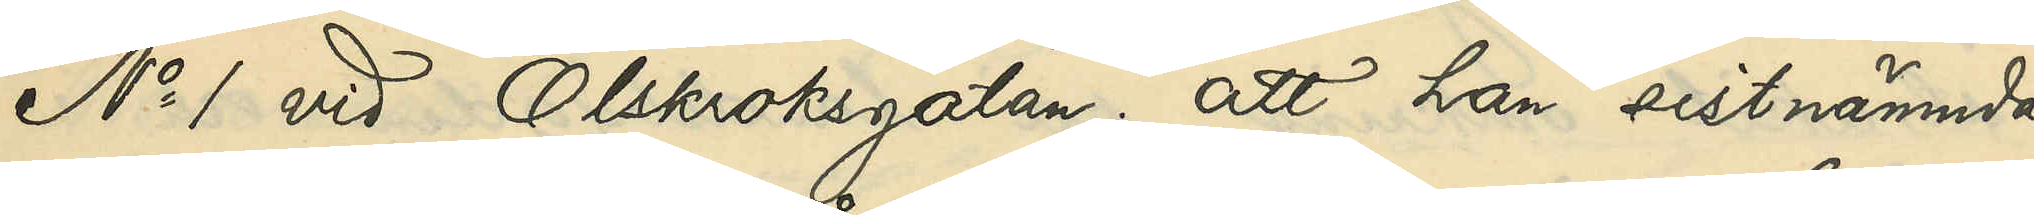No 1 vid Olskroksgatan; att han sistnämnde
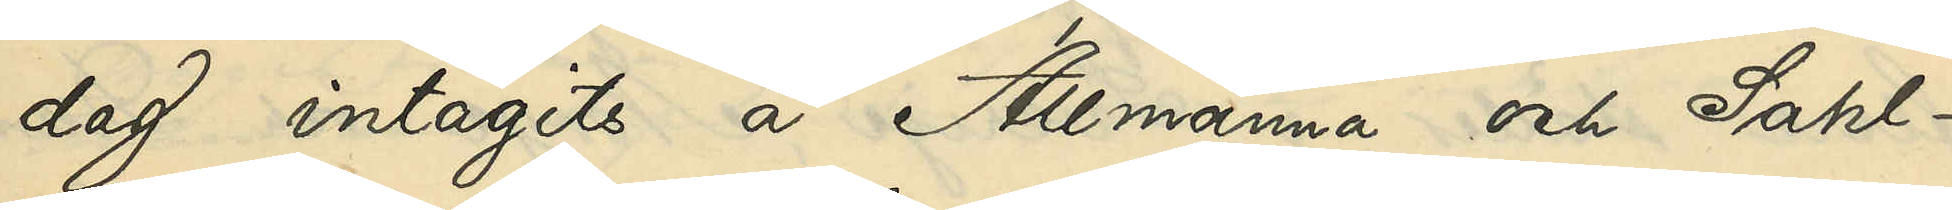dag intagits å Allmänna och Sahl¬
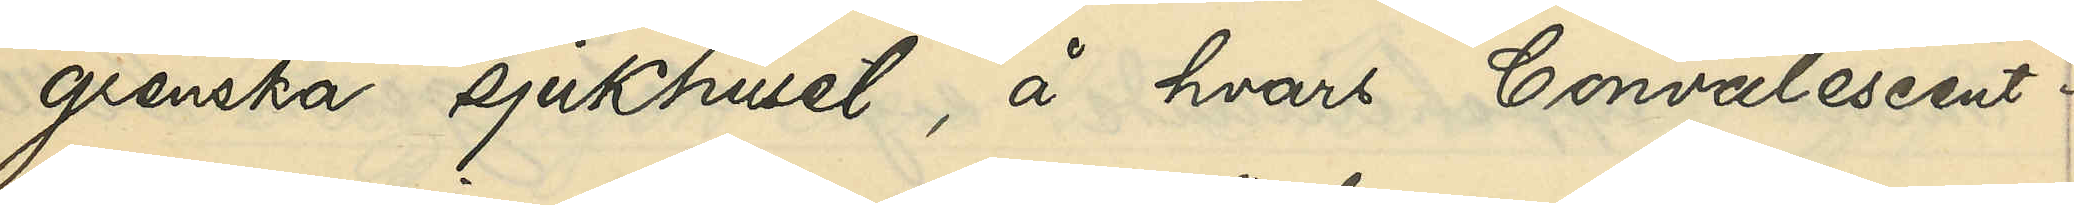grenska sjukhuset, å hvars Convalescent¬
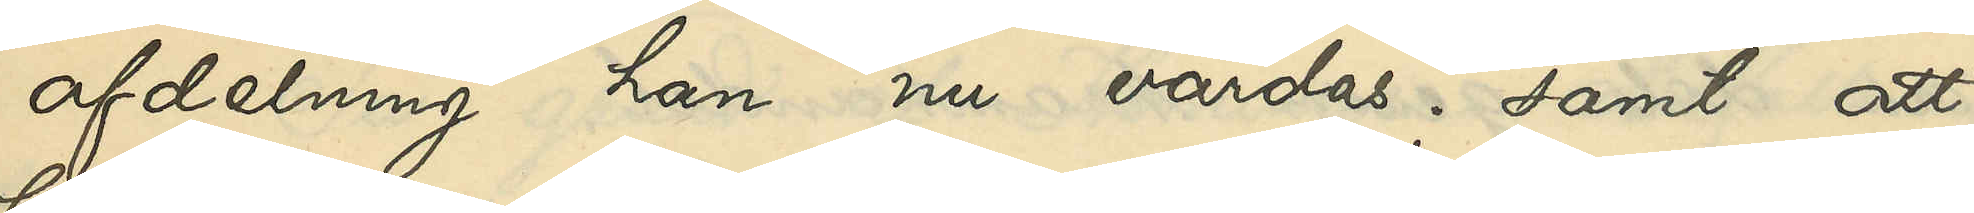afdelning han nu vårdas; samt att
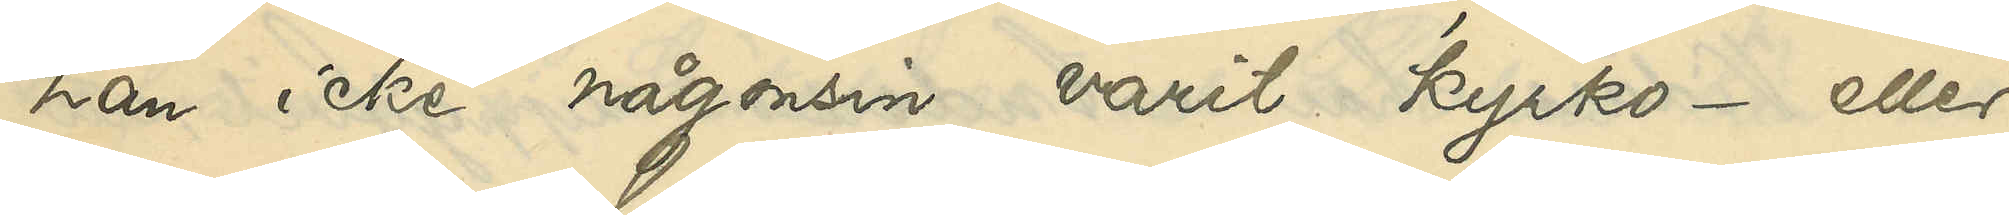han icke någonsin varit kyrko- eller
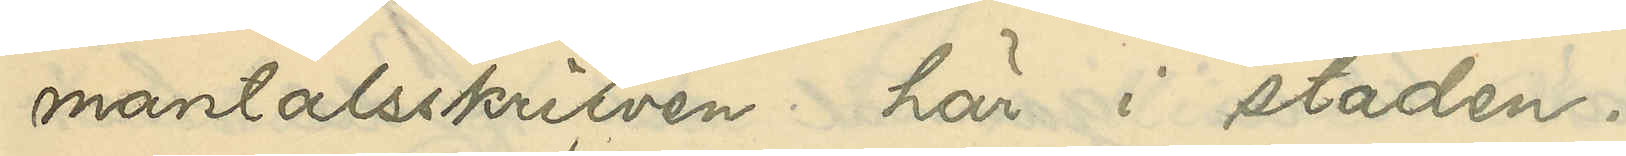mantalsskrifven här i staden.
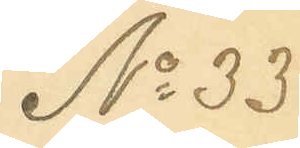No 33
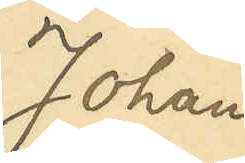Johan
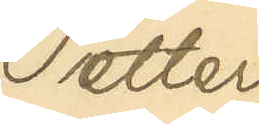Petter
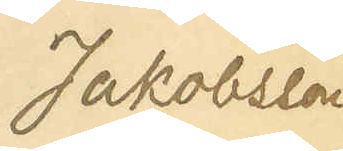Jakobsson
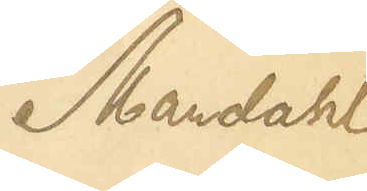Mandahl
